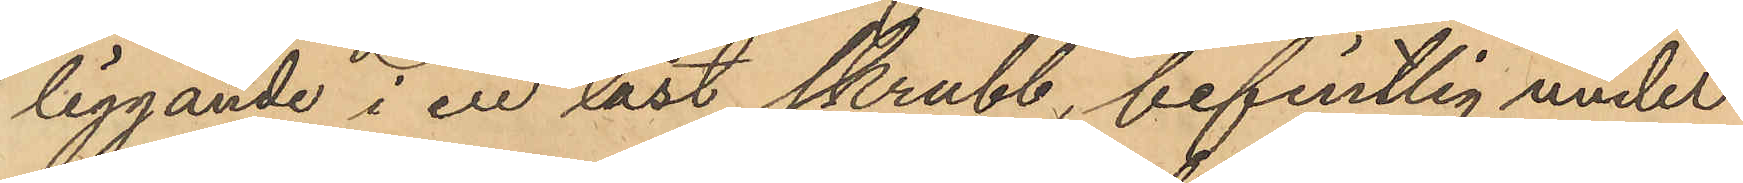liggande i en låst skrubb, befintlig under
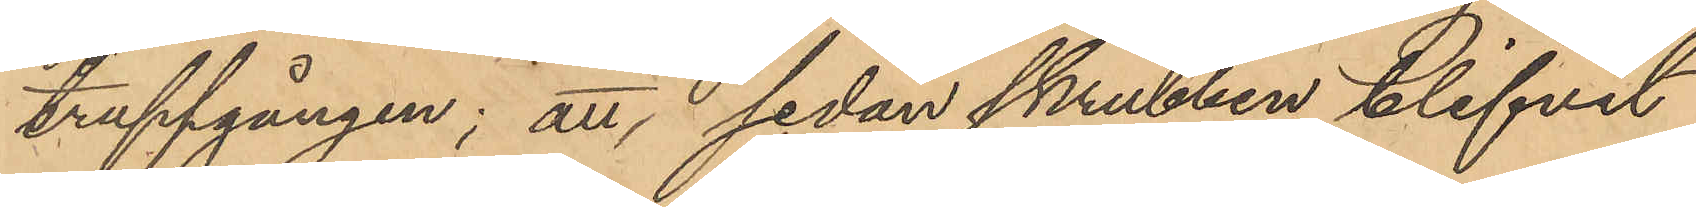trappgången; att sedan skrubben blifvit
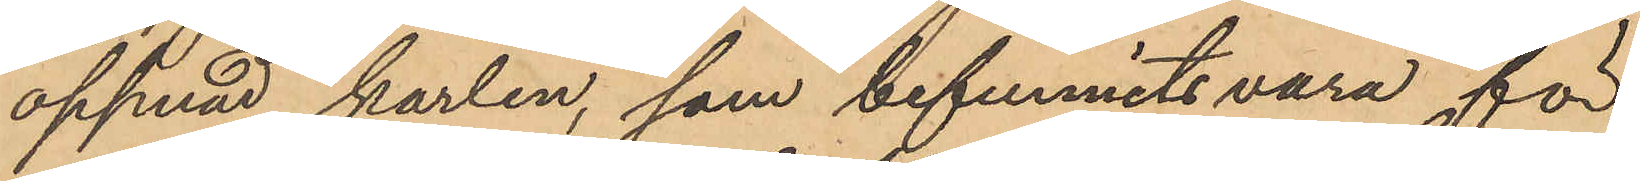öppnad, karlen, som befunnits vara för
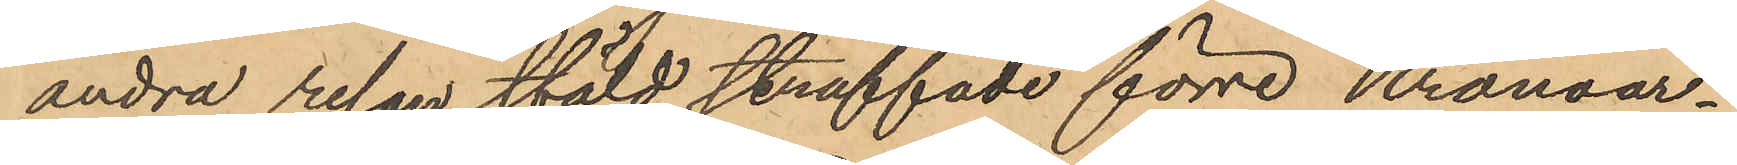andra resan stöld straffade förre Kronoar¬
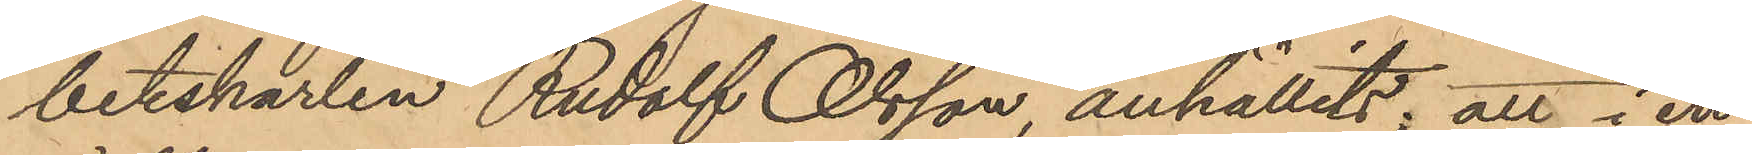betskarlen Rudolf Olsson, anhållits; att i en
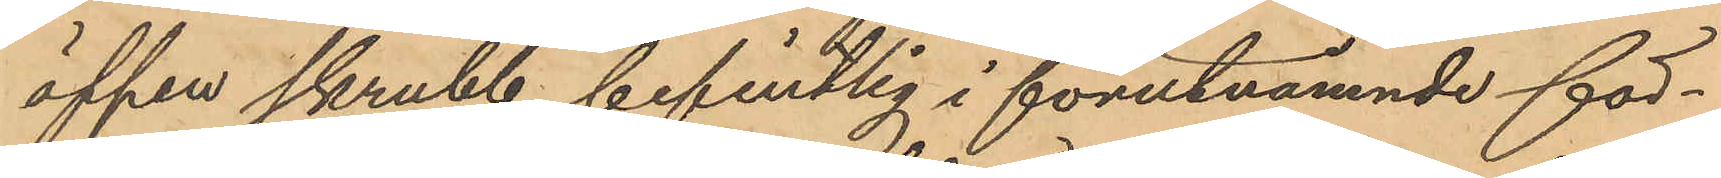öppen skrubb befintlig i förutnämnde för¬
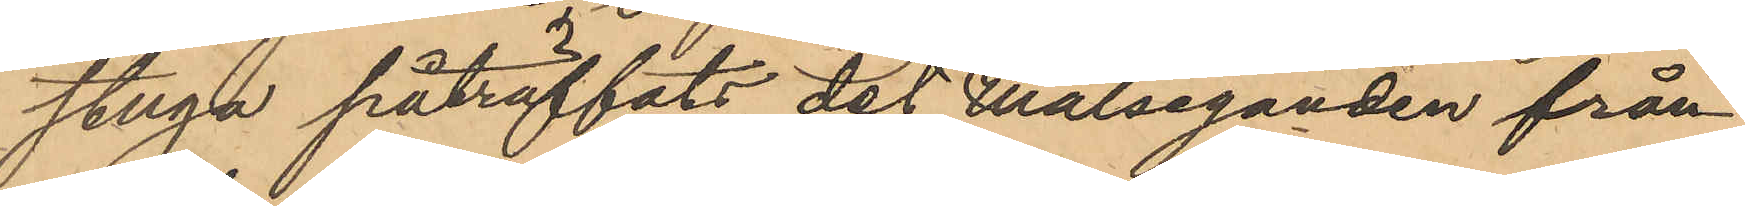stuga påträffats det Målseganden från
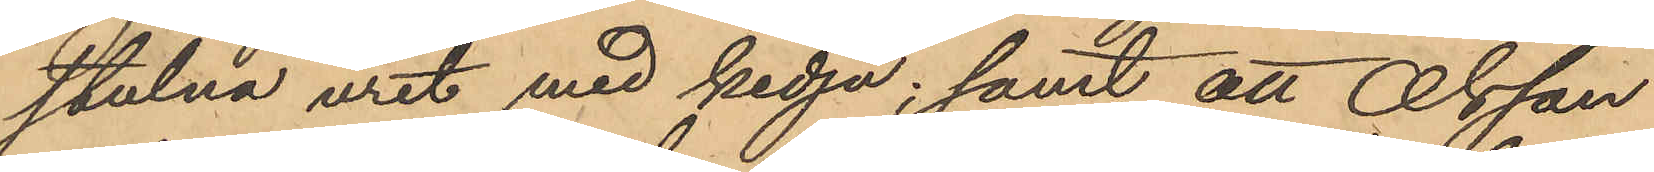stulna uret med kedja; samt att Olsson
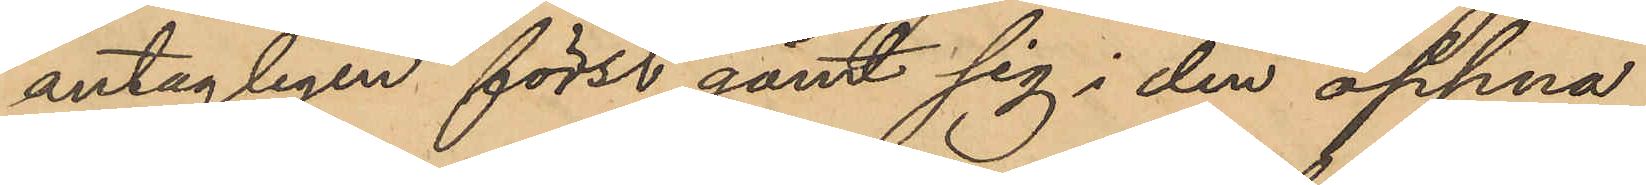antagligen först gömt sig i den öppna
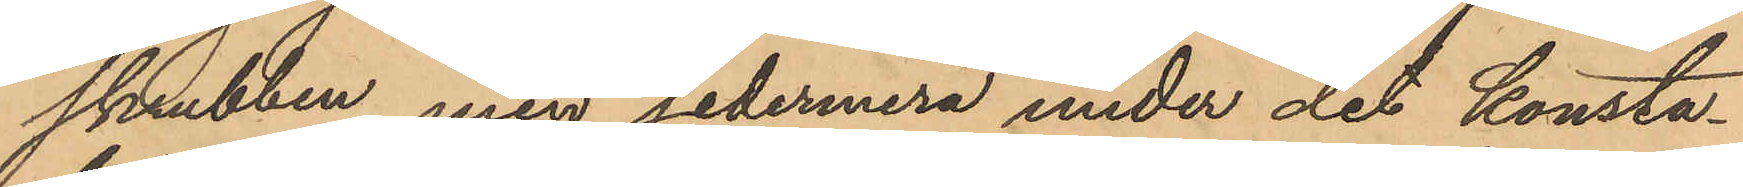skrubben, men sedermera under det konsta¬
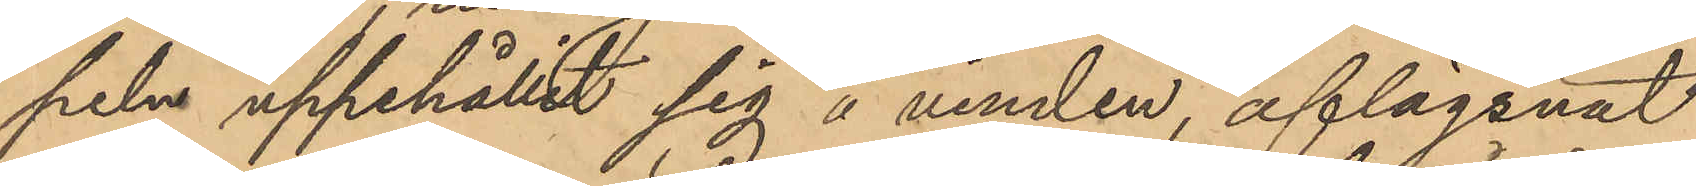peln uppehållit sig å vinden, aflägsnat
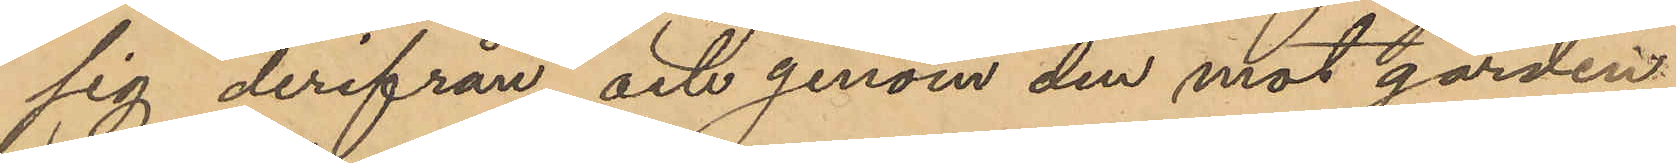sig derifrån och genom den mot gården
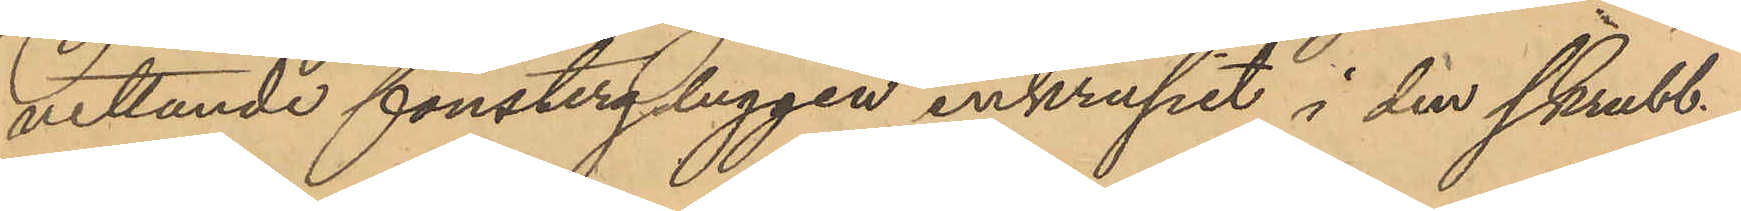vettande fönstergluggen inkrupit i den skrubb
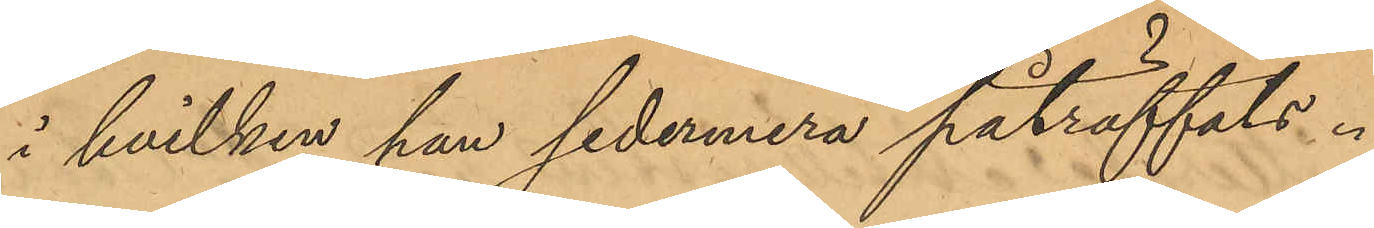i hvilken han sedermera påträffats.
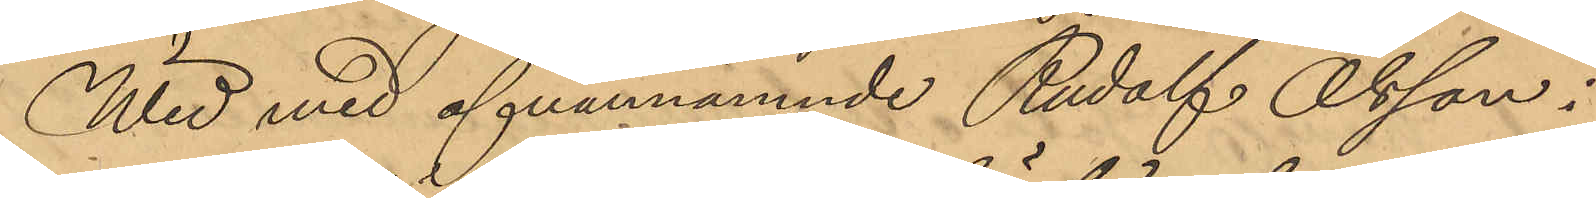Wid med ofvannämnde Rudolf Olsson i
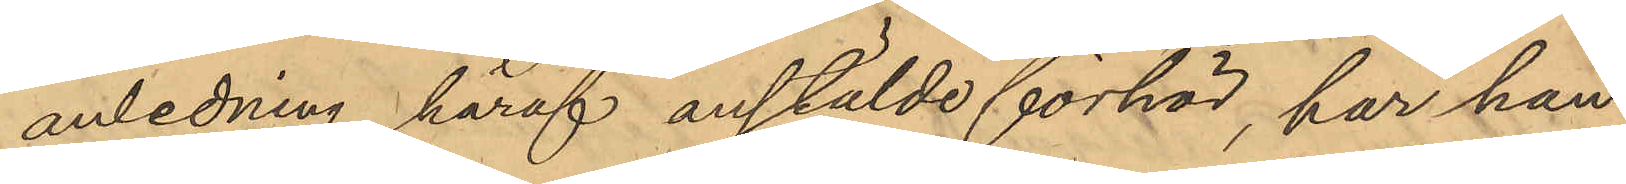anledning häraf anstälde förhör, har han
